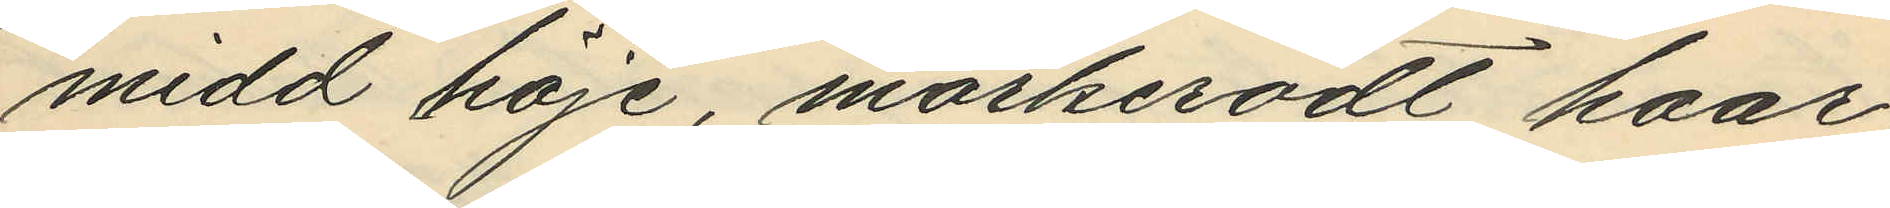midd höje, mörkerödt haar,
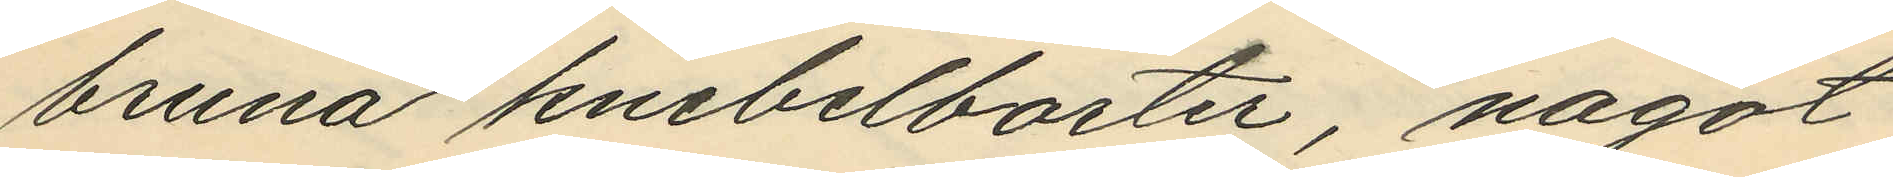bruna knebelbarter, nagot
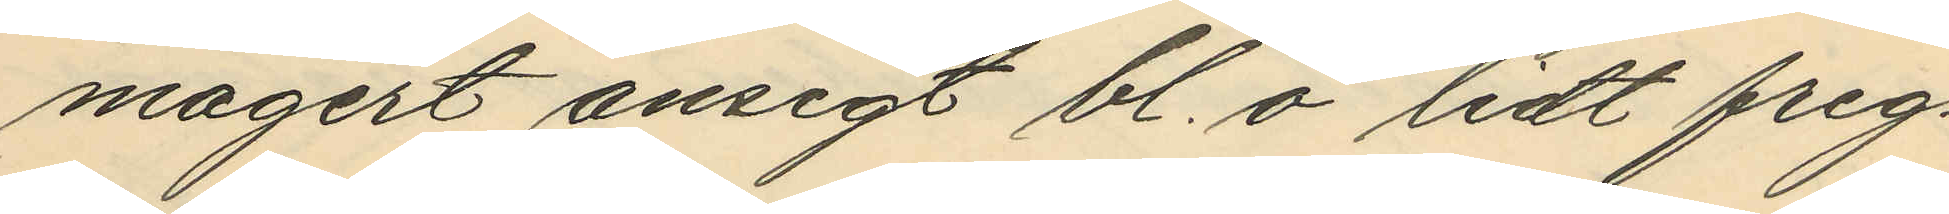magert ansigt bl. ö lidt freg¬
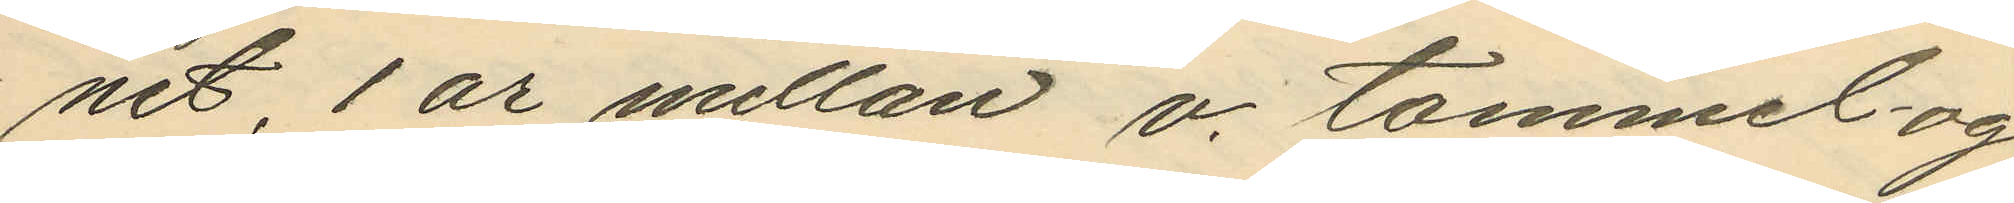net, 1 ar mellan v. tommel og
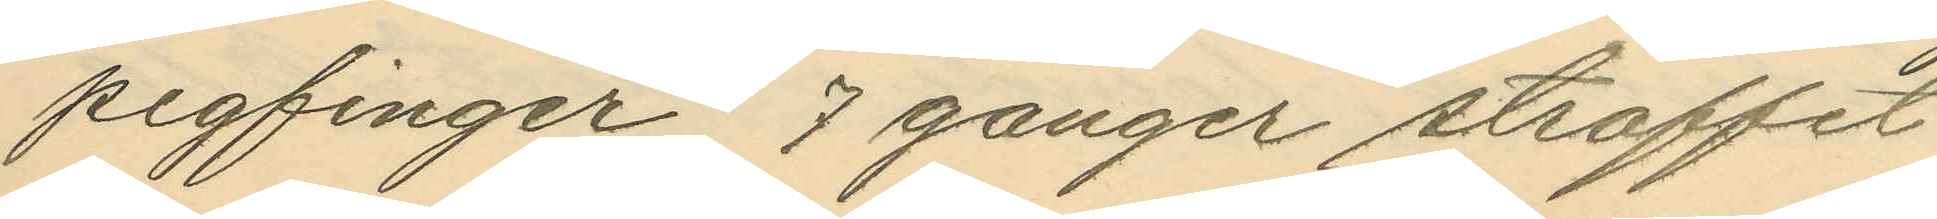pegfinger, 7 ganger straffet
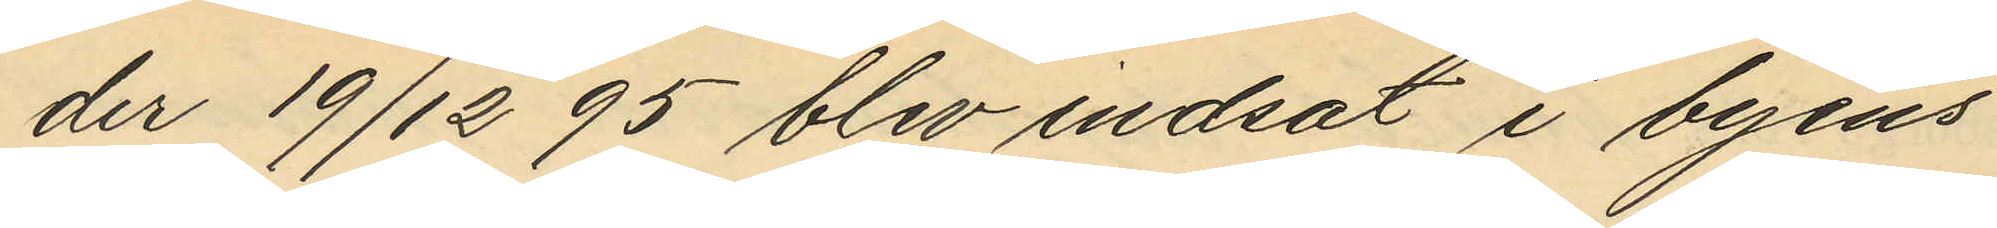der 19/12 95 blev indsat i byens
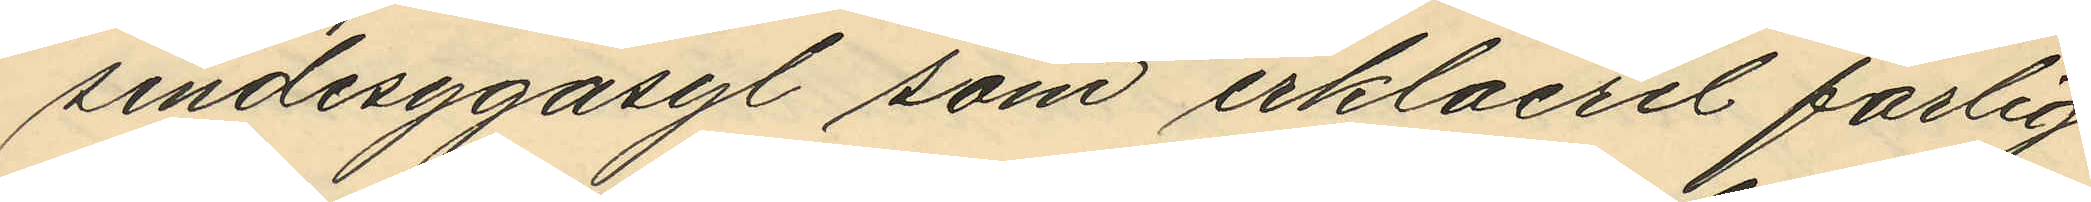sindesygasyl som erklaerel farlig
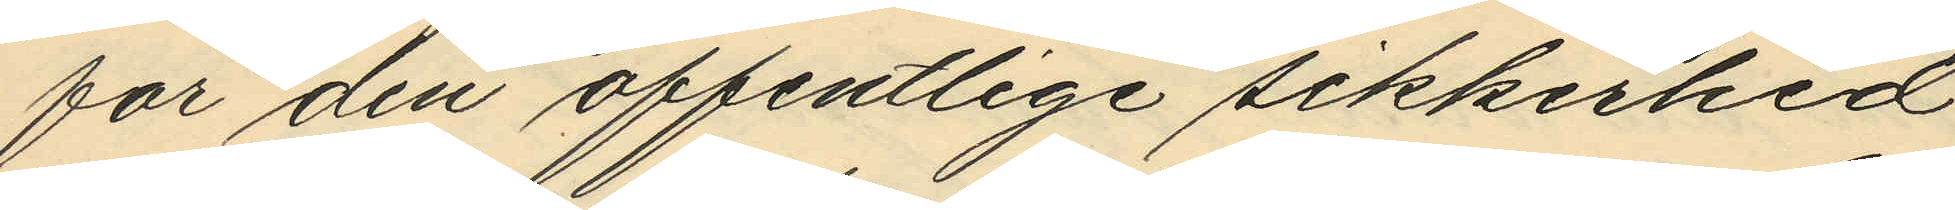for den offentlige sikkerhed
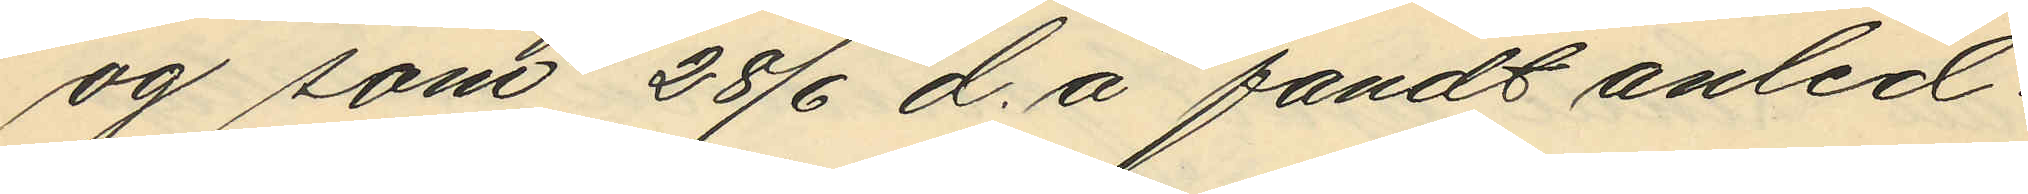og som 28/6 d. å fandt anled¬
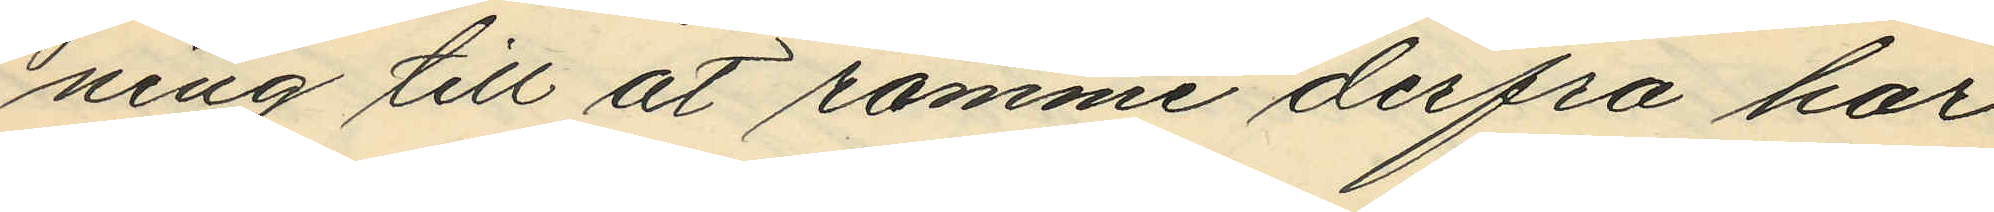ning till at römme derfra har
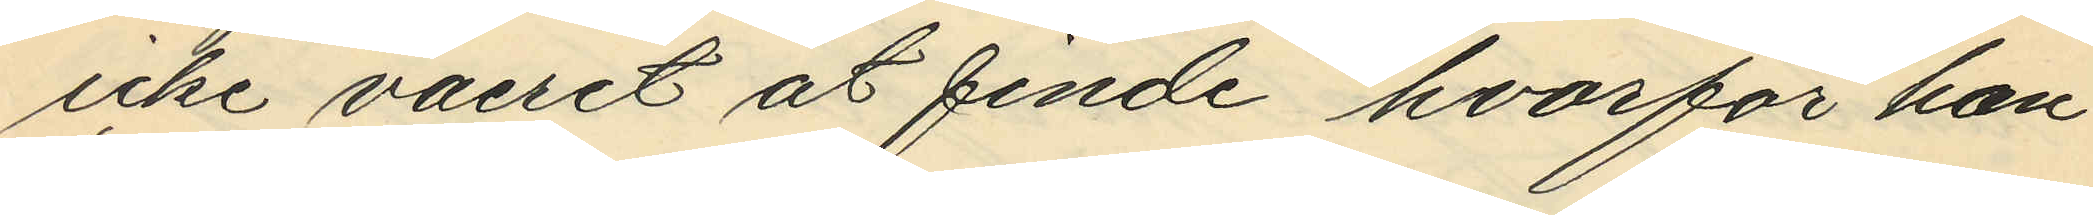icke vaeret at finde hvorför han
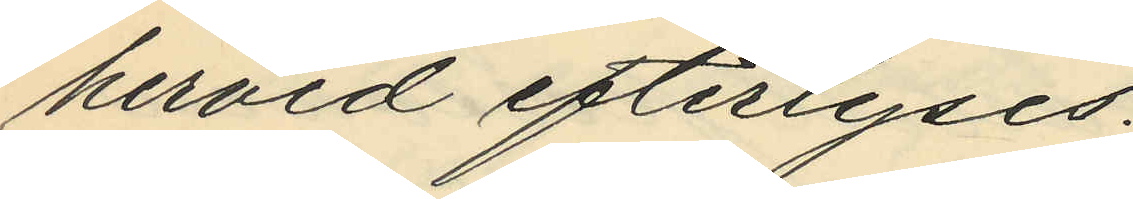herved efterlyses.
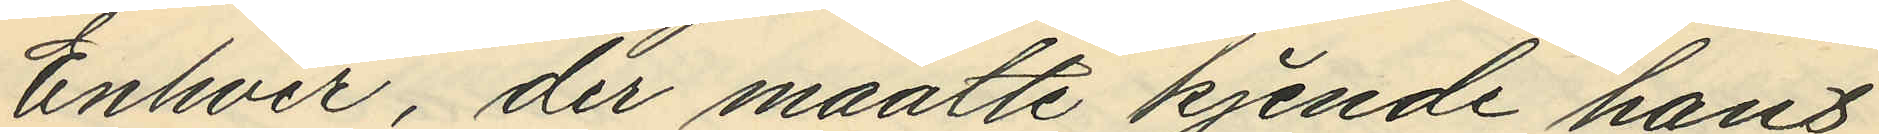Enhver, der maatte kjende hans
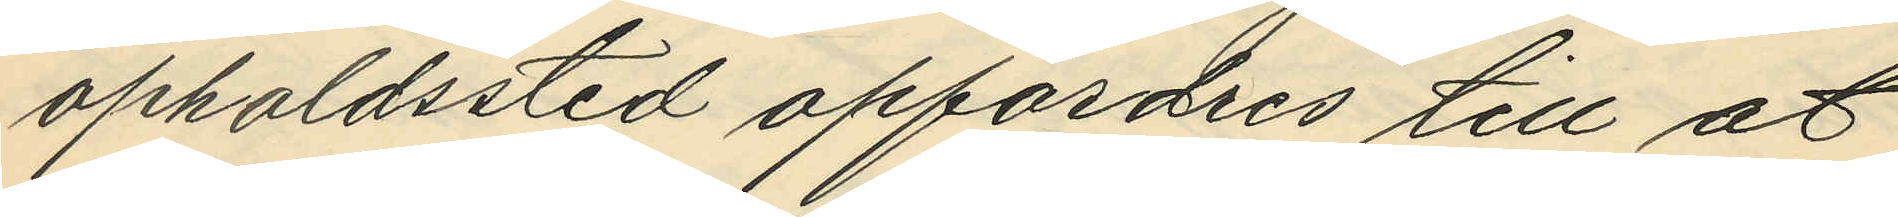opholdssted opfordres till at
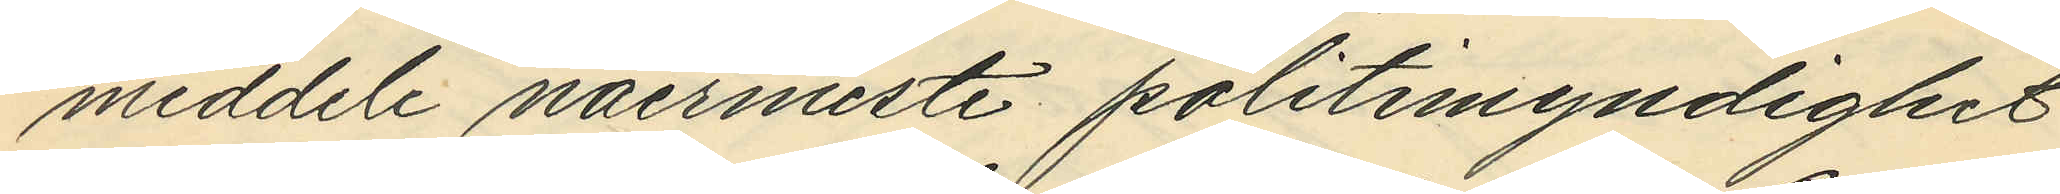meddele naermeste politimyndighet
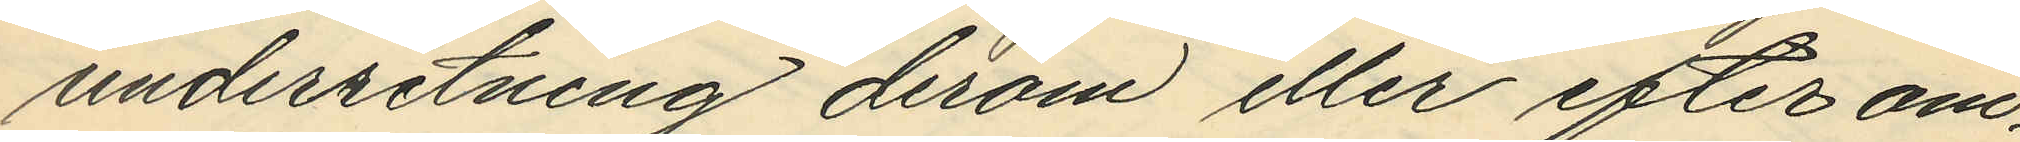underretning derom eller efter om¬
